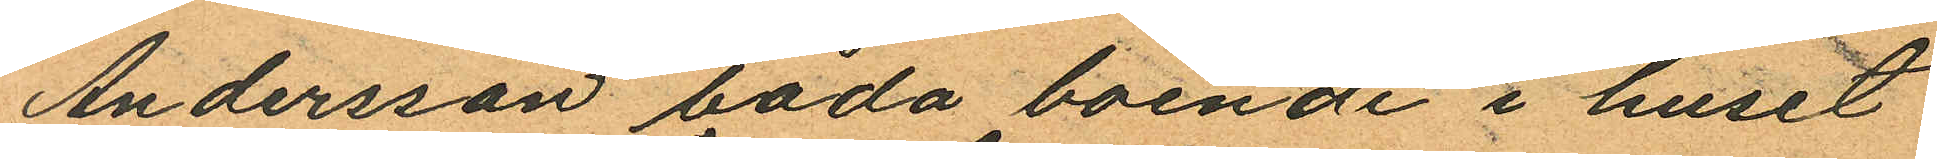Andersson båda boende i huset
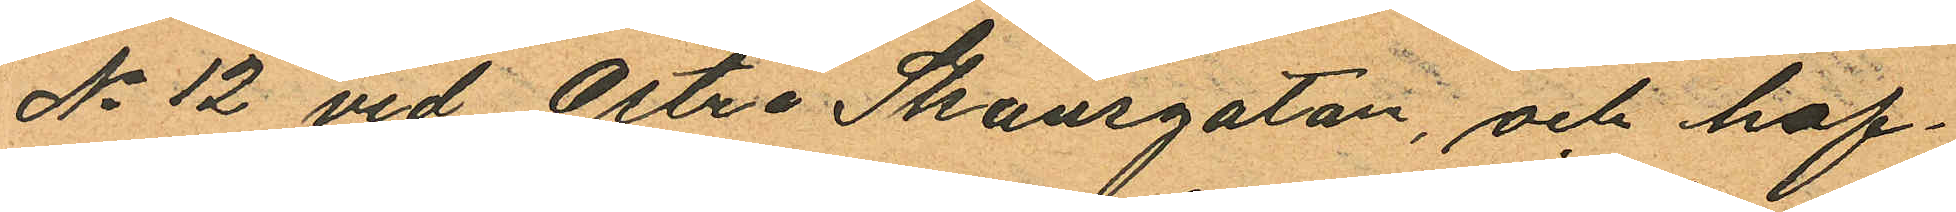No 12 vid Östra Skansgatan, och haf¬
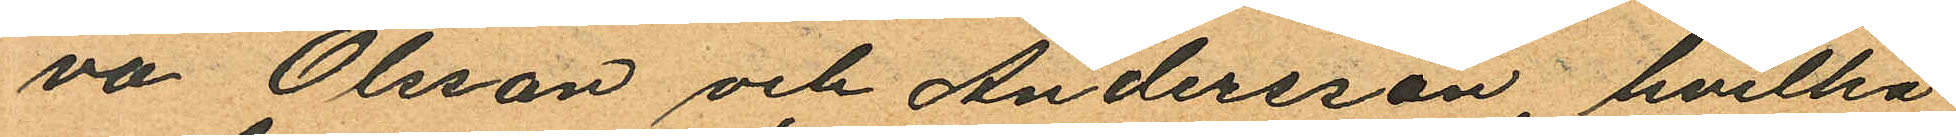va Olsson och Andersson, hvilka
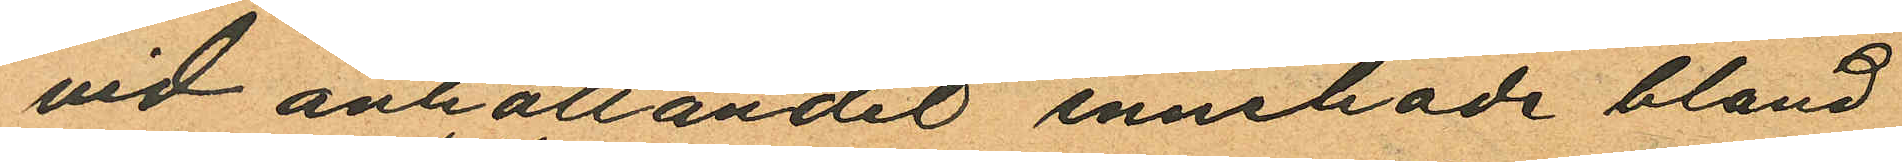vid anhållandet innehade bland
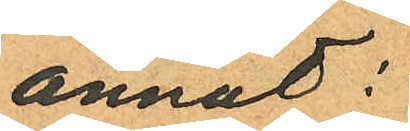annat:
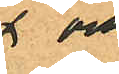x och
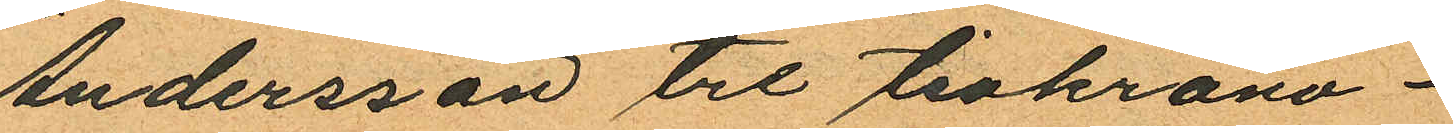Andersson tre tiokrono¬
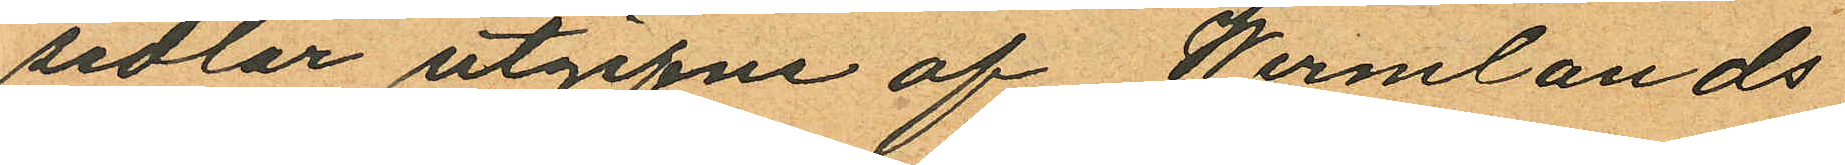sedlar utgifne af Wermlands
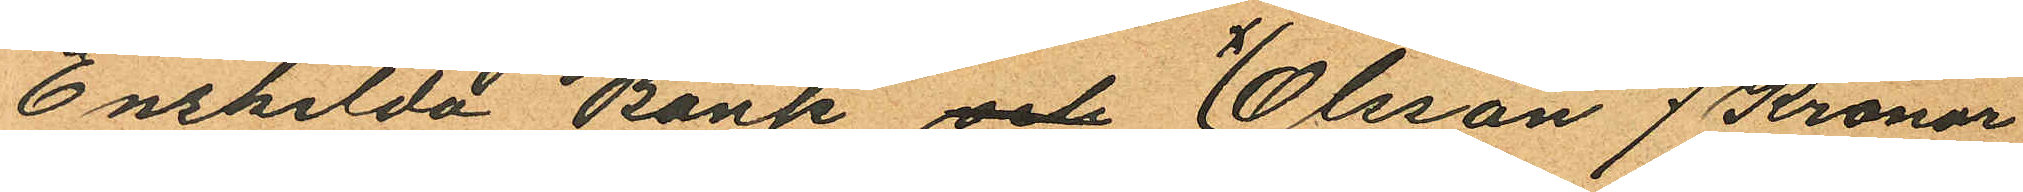Enskilda Bank och x Olsson 7 Kronor
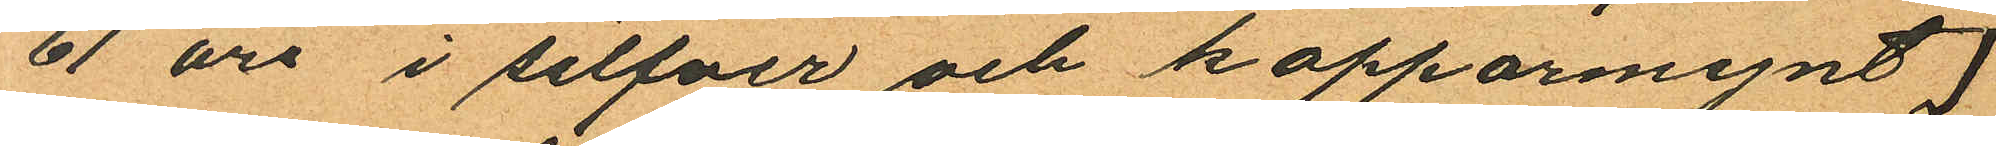61 öre i silfver och kopparmynt
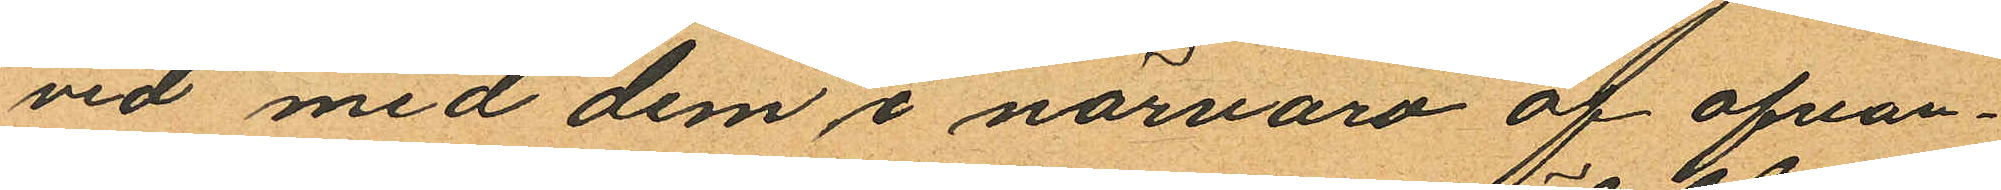vid med dem i närvaro af ofvan¬
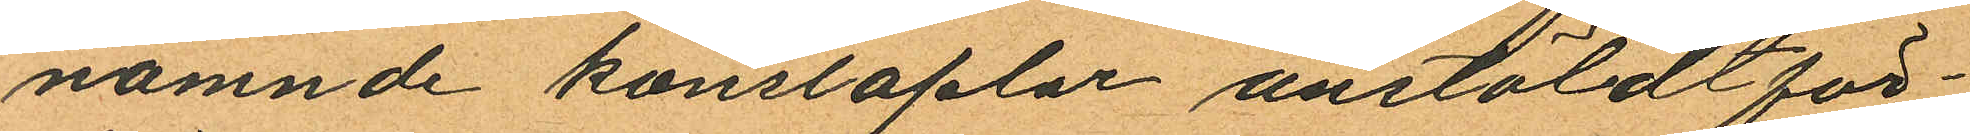nämnde konstaplar anstäldt för¬
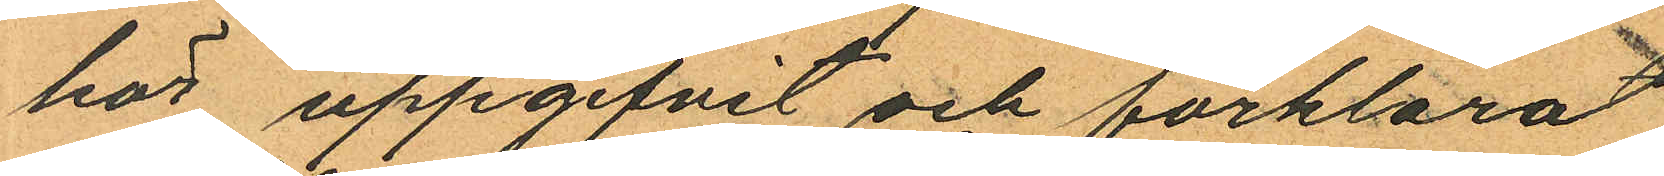hör uppgifvit och förklarat
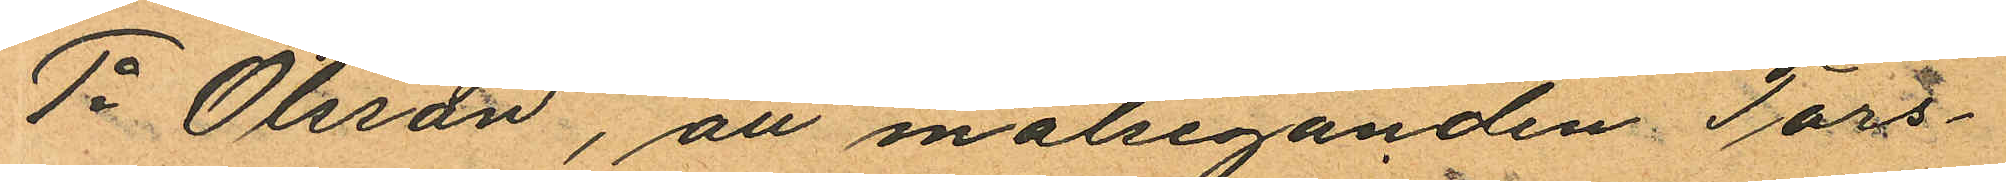1o Olsson, att målseganden Tors¬
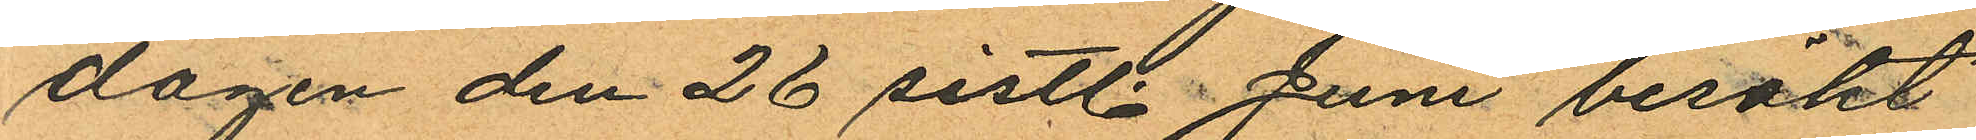dagen den 26 sistl. Juni besökt
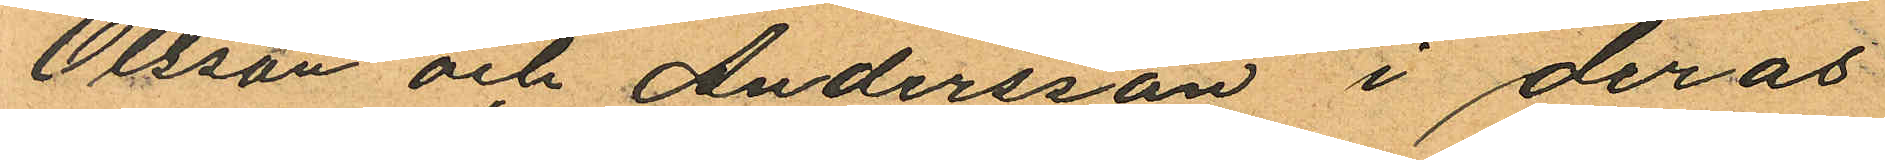Olsson och Andersson i deras
